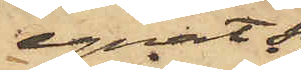egnat sig
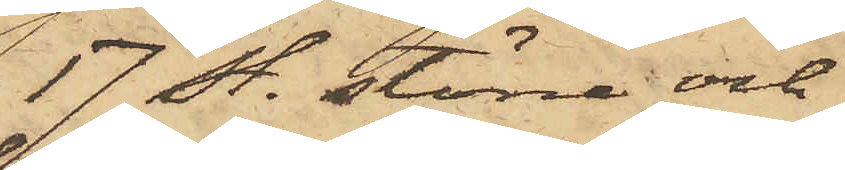17 st. större och
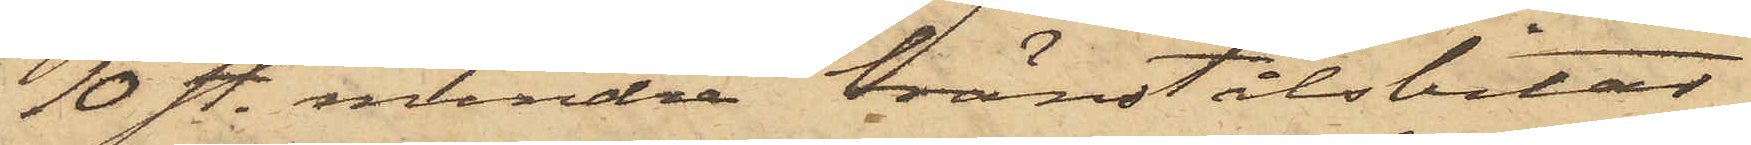10 st. mindre bränstålsbitar
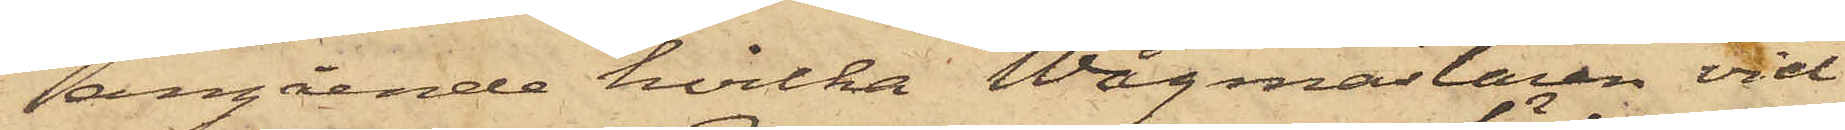angående hvilka Wågmästaren vid
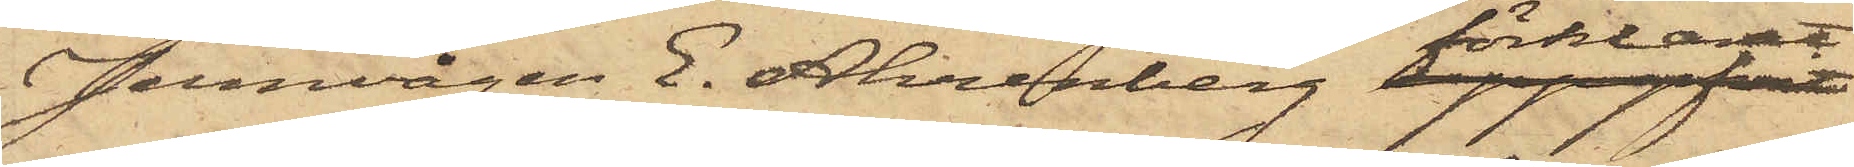Jernvågen E. Ahrenberg förklarat
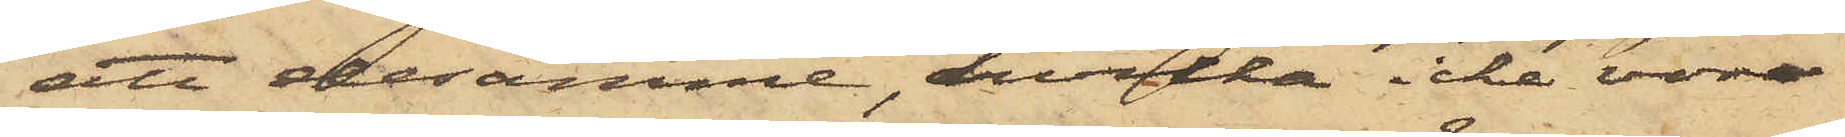att desamme, hvilka icke vore
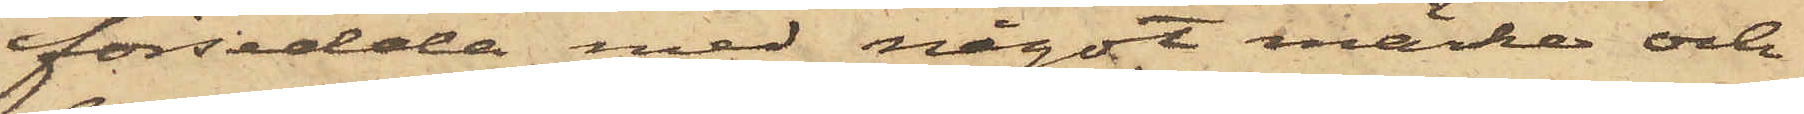försedda med något märke och
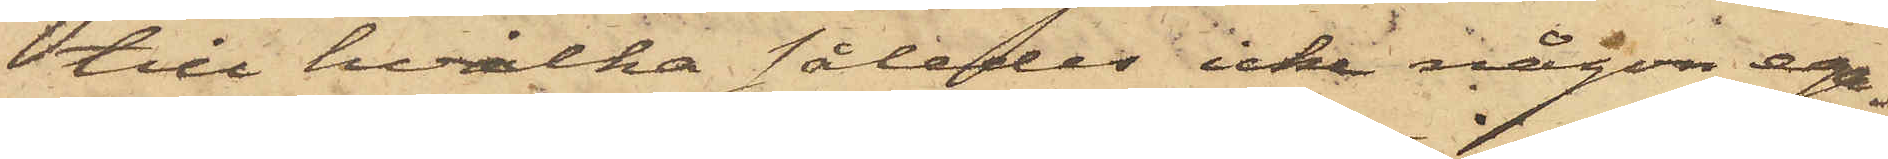till hvilka således icke någon ega¬
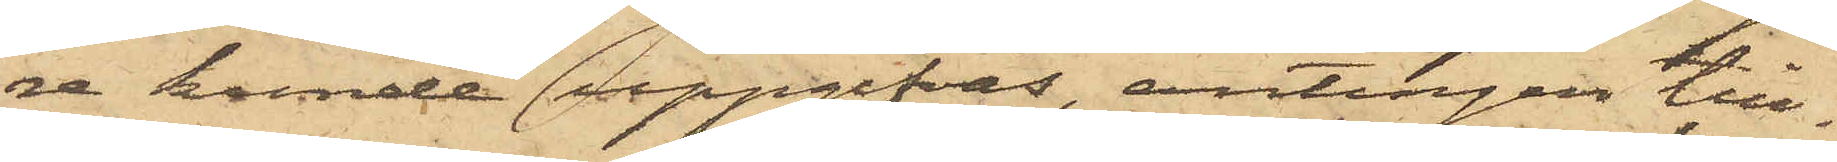re kunde uppgifvas, antingen till¬
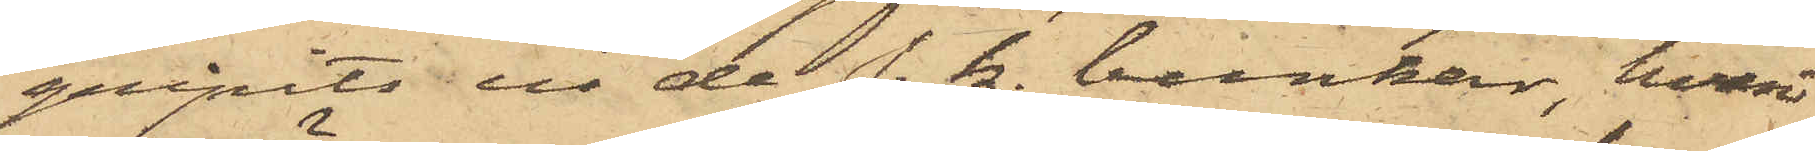gripits ur de s. k. bunkar, hvari
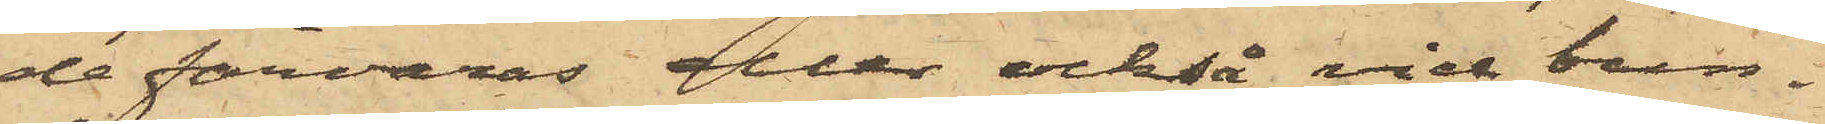de förvaras eller också vid bun¬
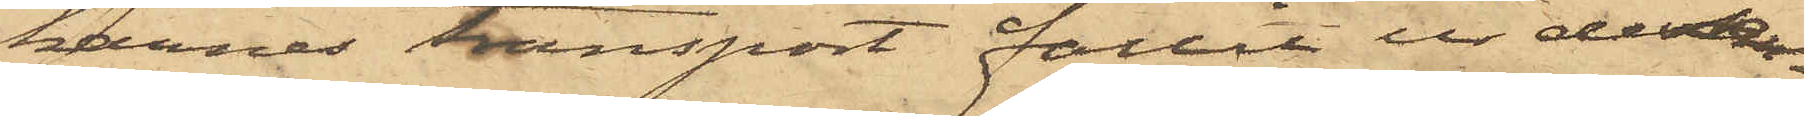karnas transport fallit ur dessa
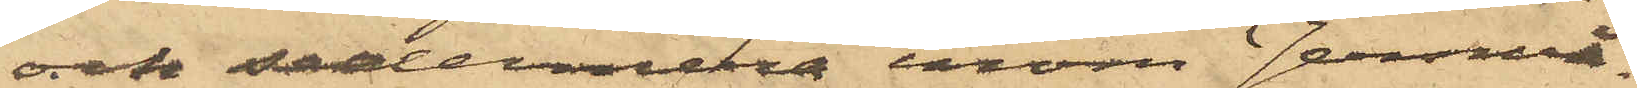och sedermera inom Jernvå¬
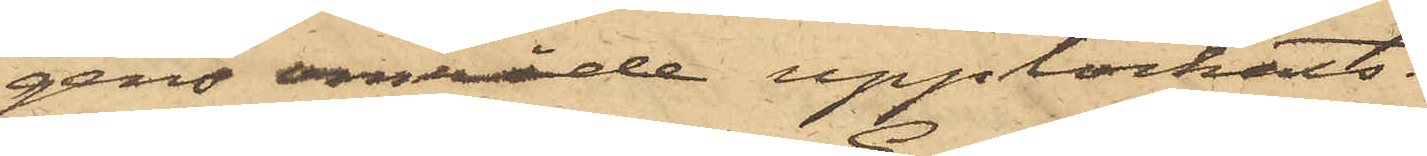gens område upplockats.
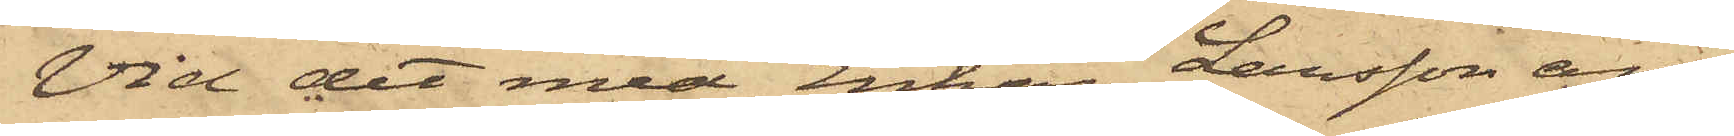Vid det med Enkan Larsson an¬
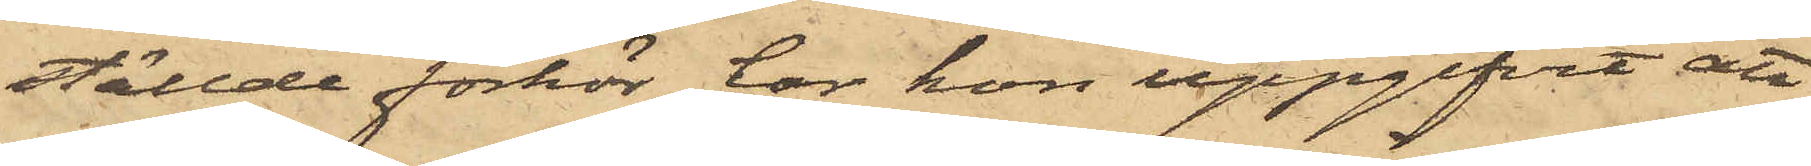ställde förhör har hon uppgifvit att
